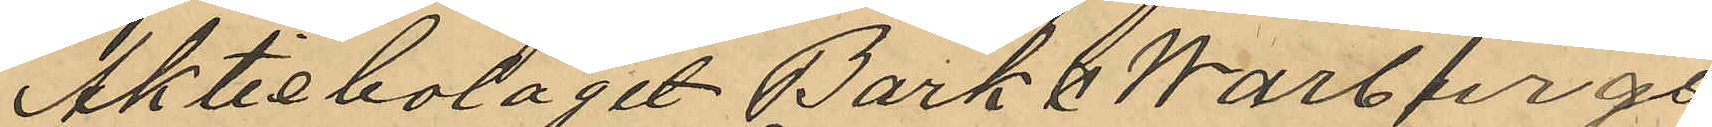Aktiebolaget Bark&Warburgs
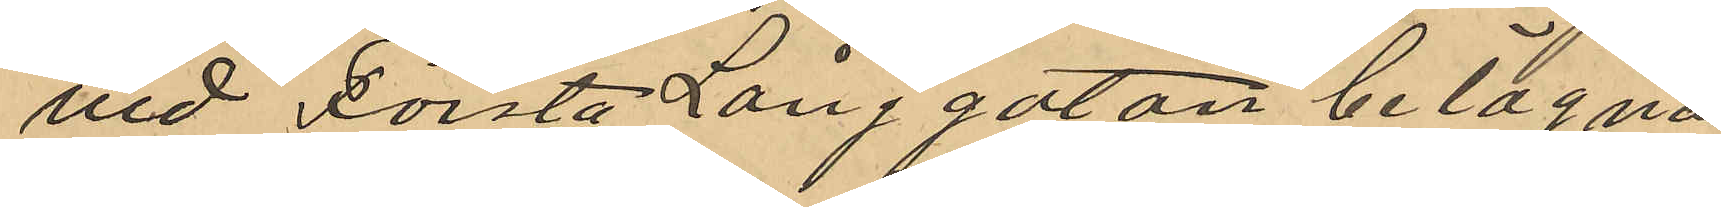vid Första Långgatan belägna
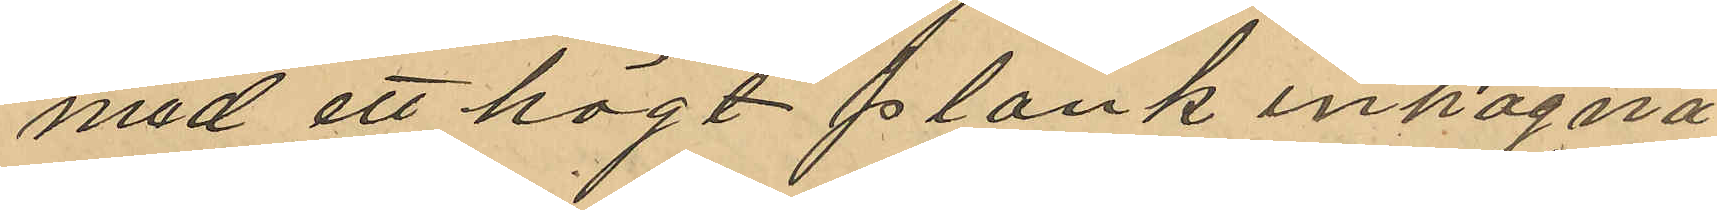med ett högt plank inhägna¬
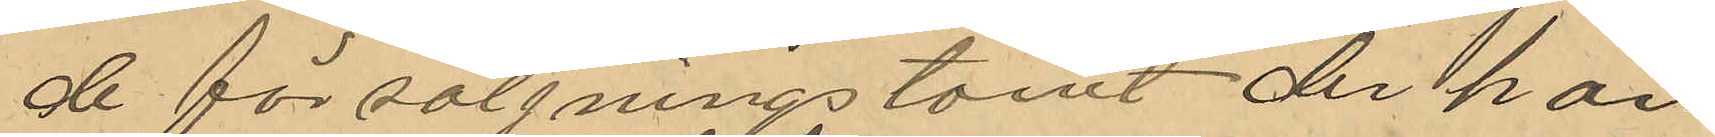de försäljningstomt der han
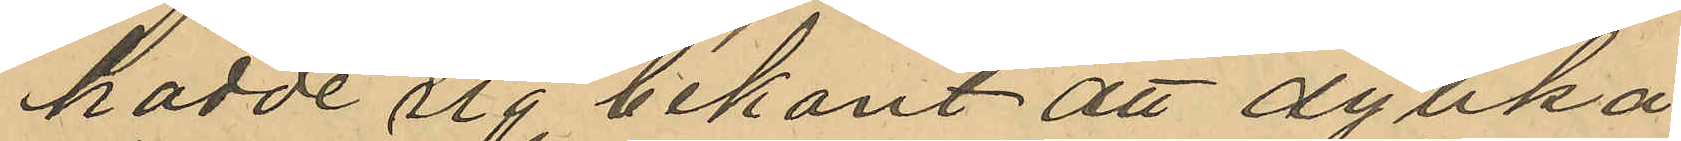hadde sig bekant att dylika
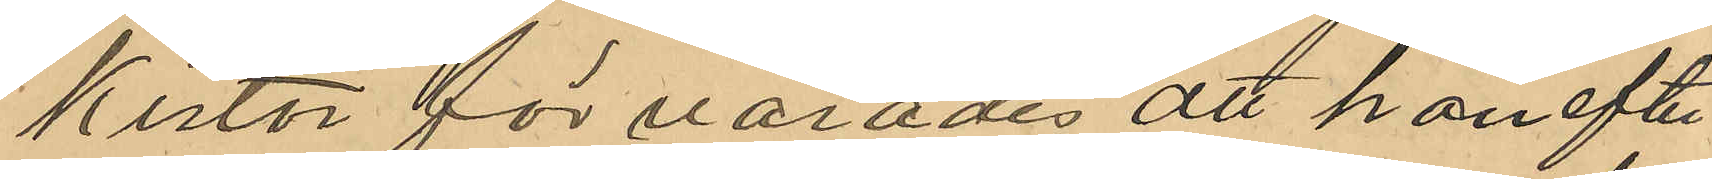kistor förvarades att han efter
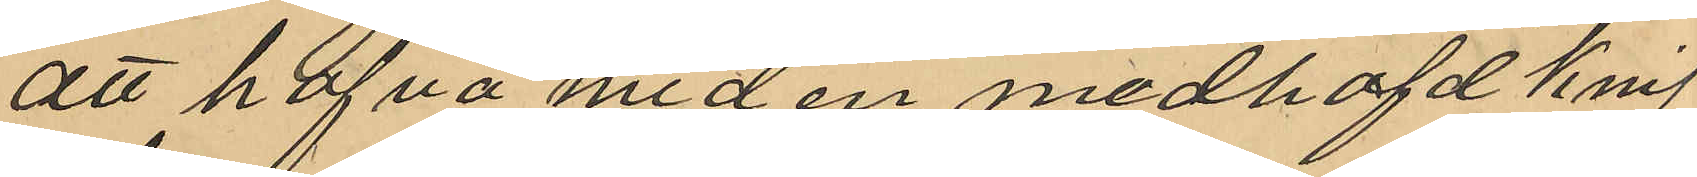att hafva med en medhafd knif
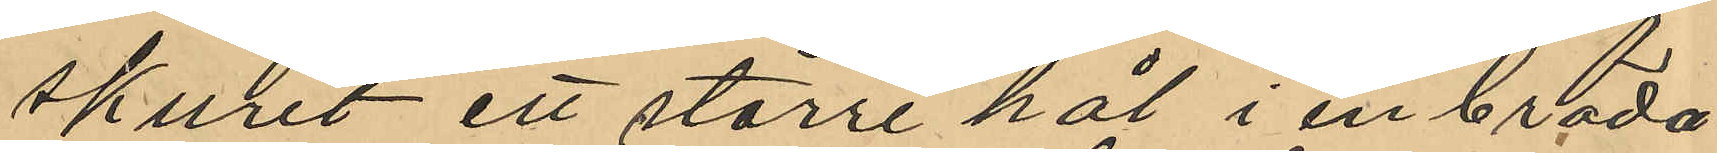skurit ett större hål i en bräda
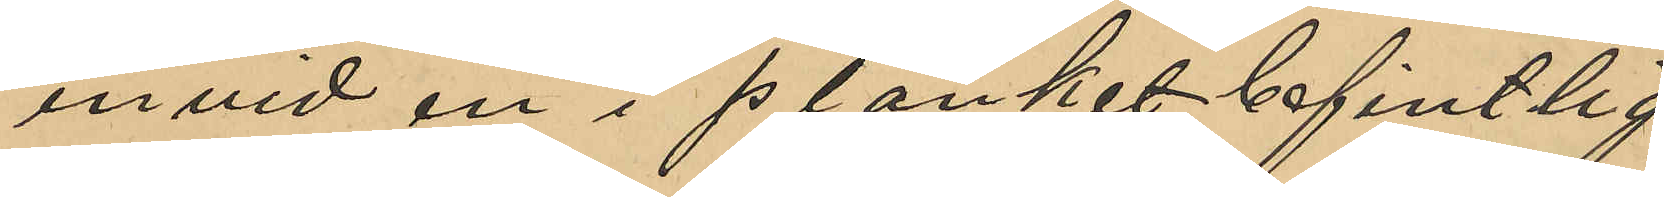invid en i planket befintlig
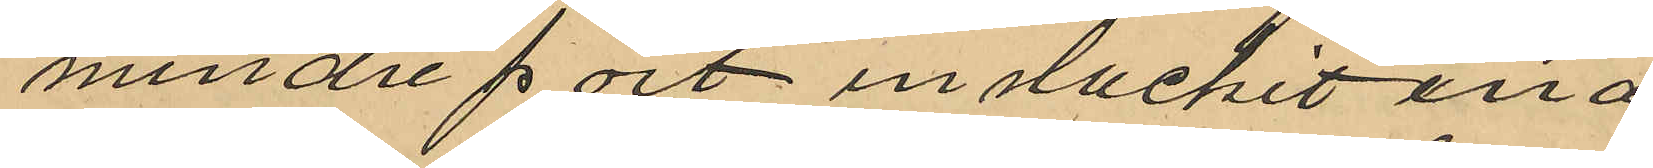mindre port insluckit ena
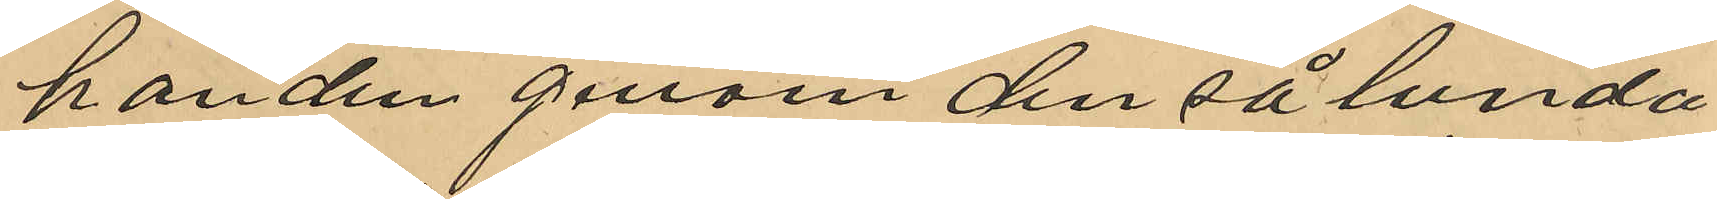handen genom den sålunda
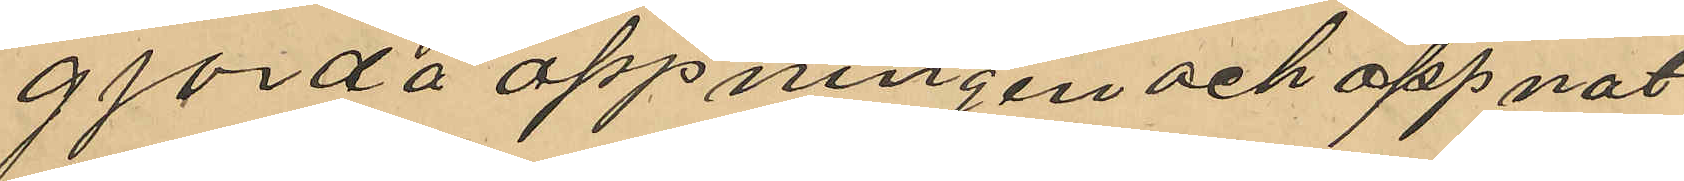gjorda öppningen och öppnat
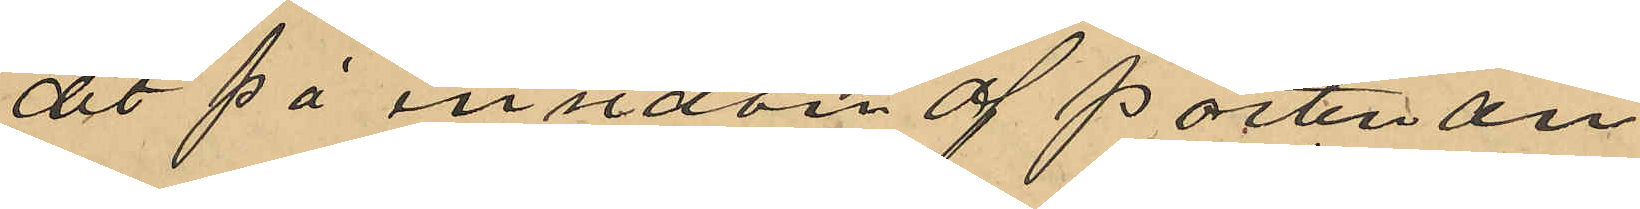det på insidan af porten an¬
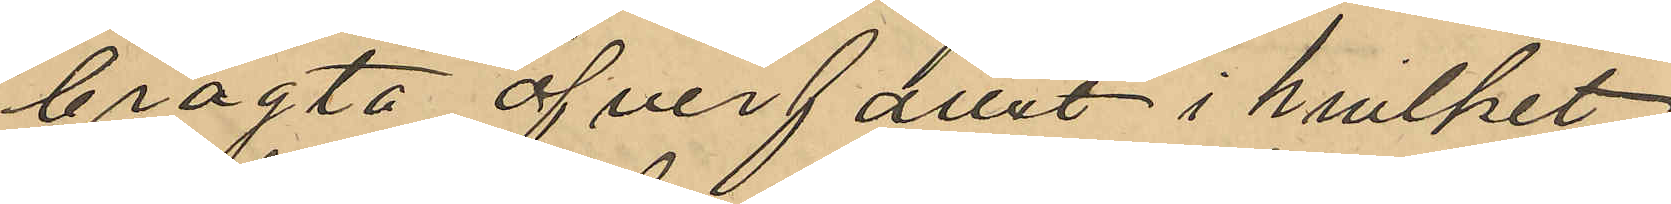bragta öfverfallet i hvilket
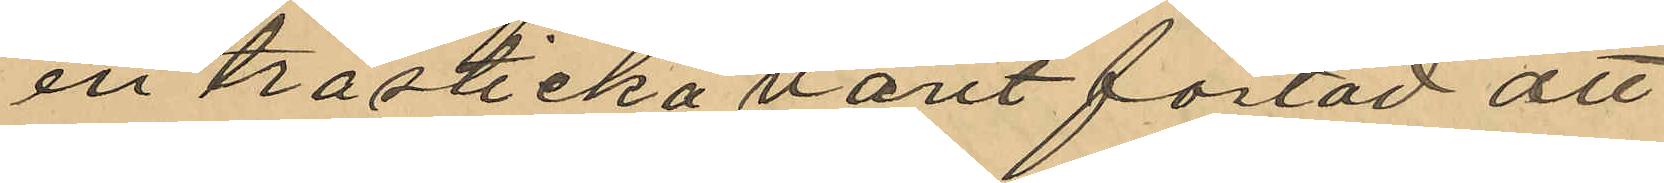en trästicka varit fästad att
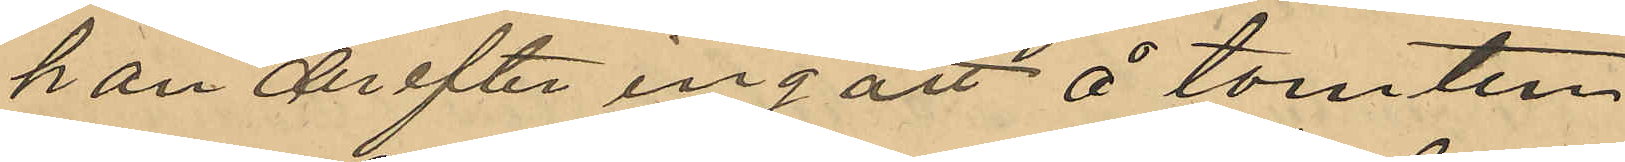han derefter ingått å tomten
